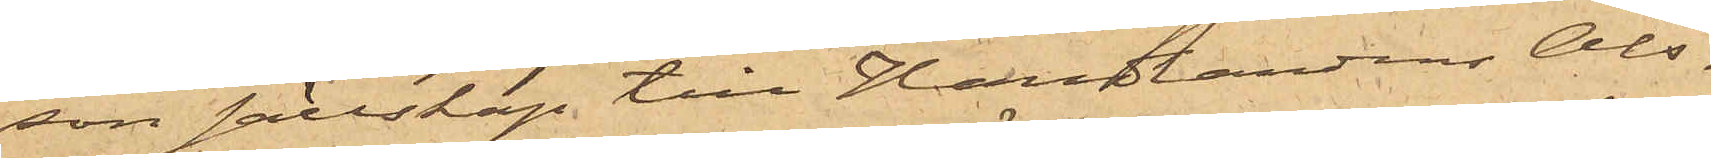son sällskap till Handlandens Ols¬
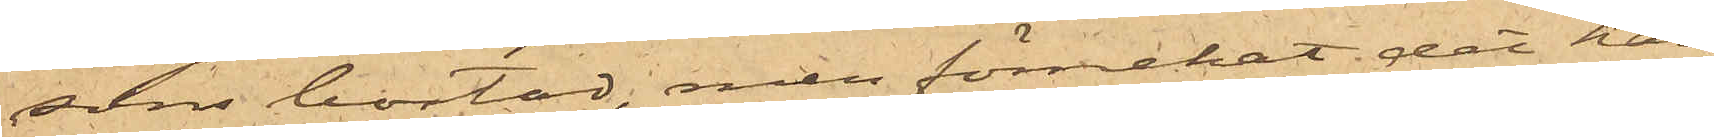sons bostad, men förnekat det han
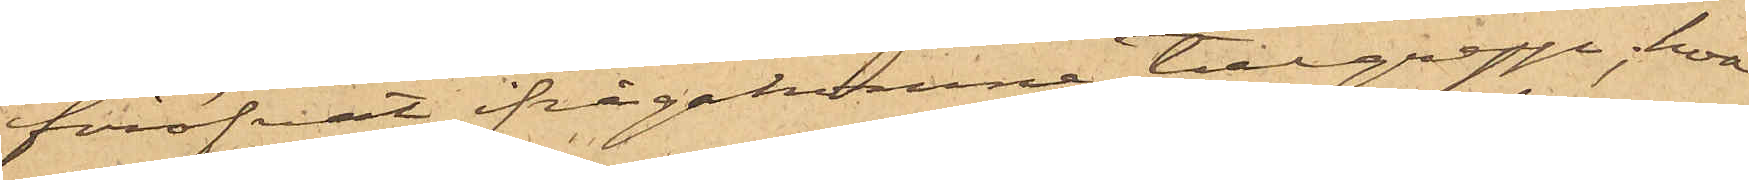föröfvat ifrågakomne tillgrepp; hvar¬
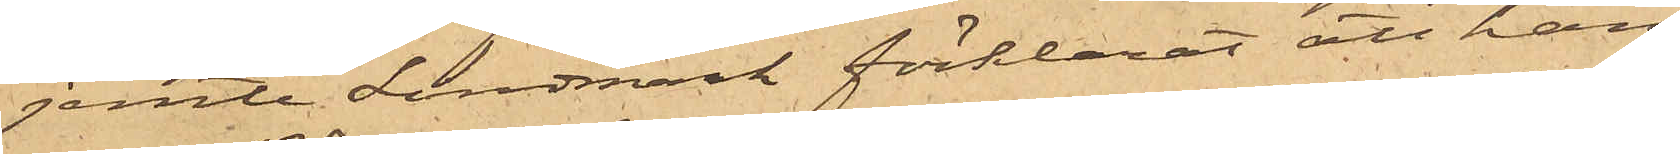jemte Lindmark förklarat att han
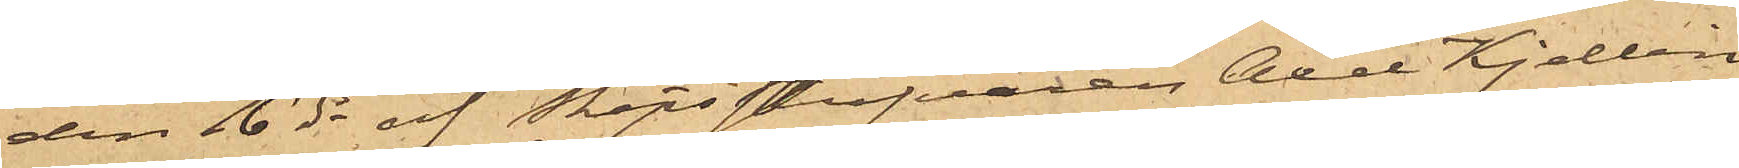den 16 ds af Skeppsstufvaren Axel Kjellin
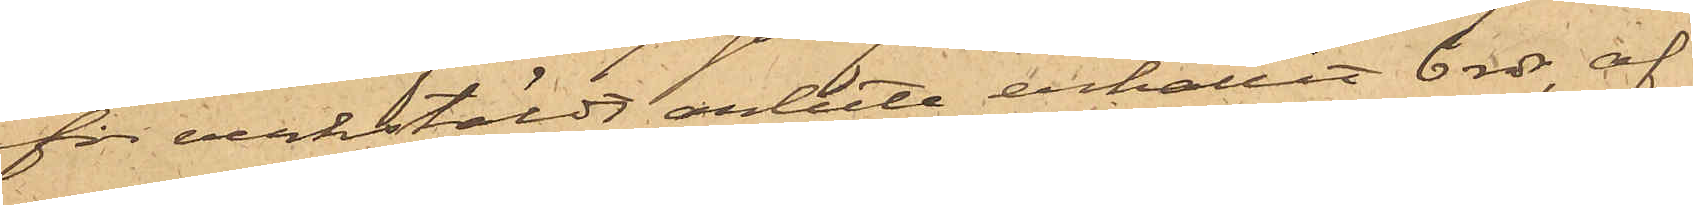för verkstäldt arbete erhållit 6 rdr, af
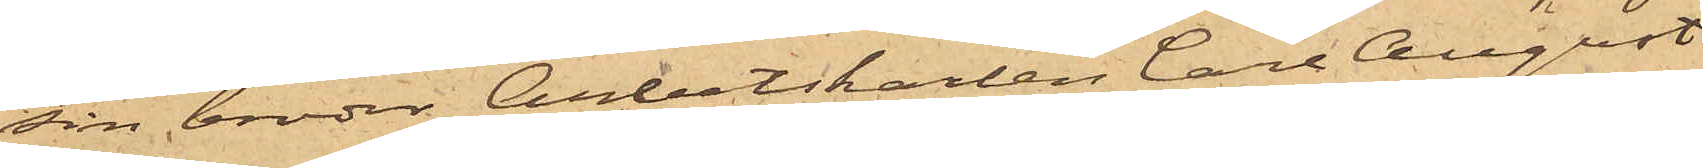sin broder Arbetskarlen Carl August
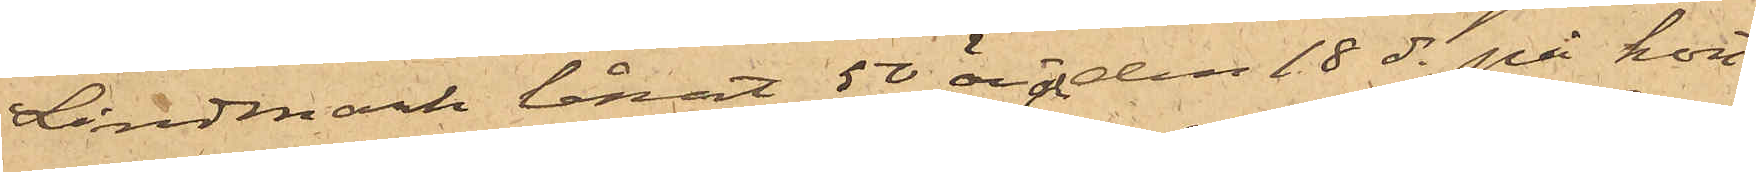Lindmark lånat 50 öre och den 18 ds på kort¬
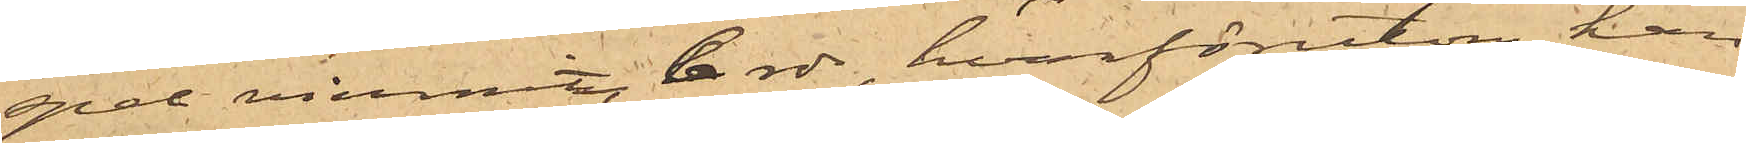spel vunnit 6 rdr, hvarförutom han
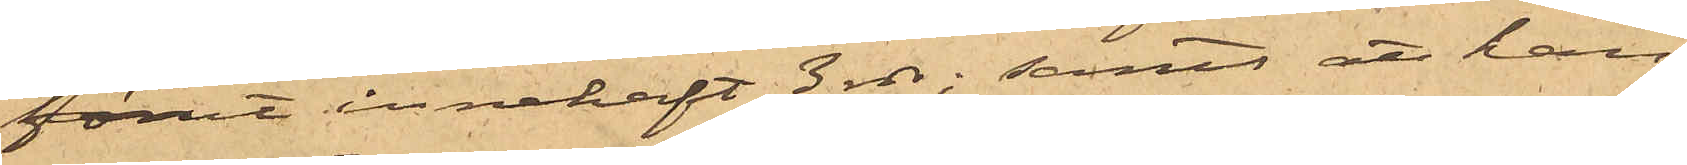förut innehaft 3 rdr; samt att han
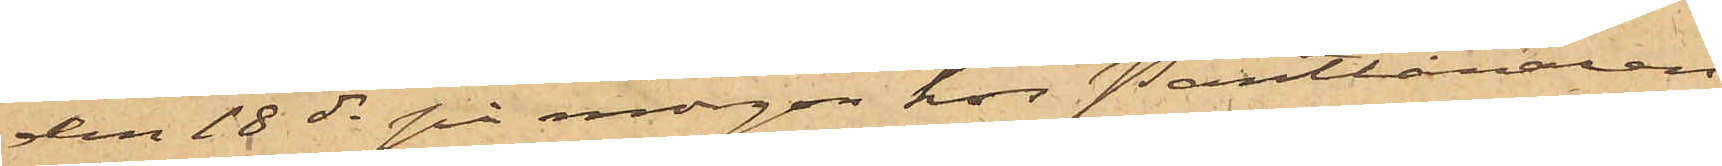den 18 ds på morgon hos Pantlånaren
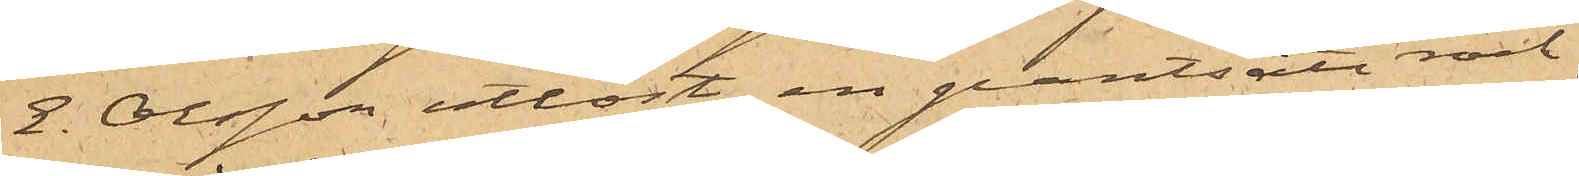E. Olsson utlöst en pantsatt rock
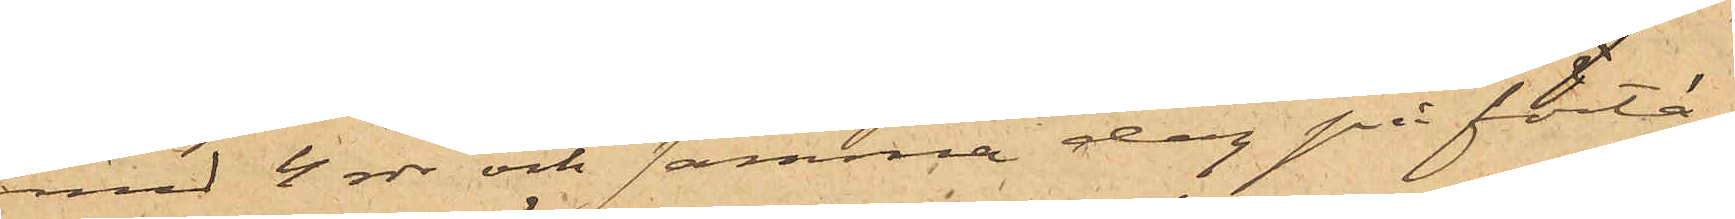med 4 rdr och samma dag på förtä¬
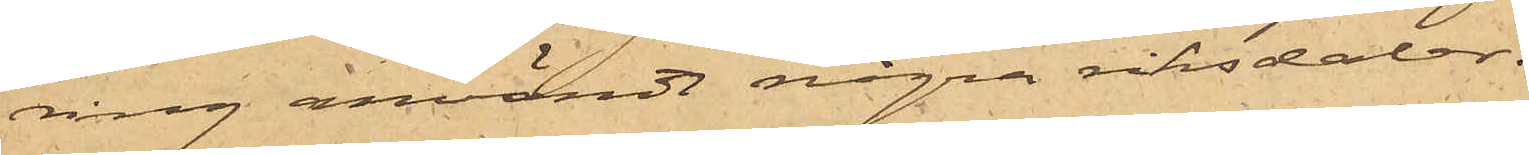ring användt några riksdaler.
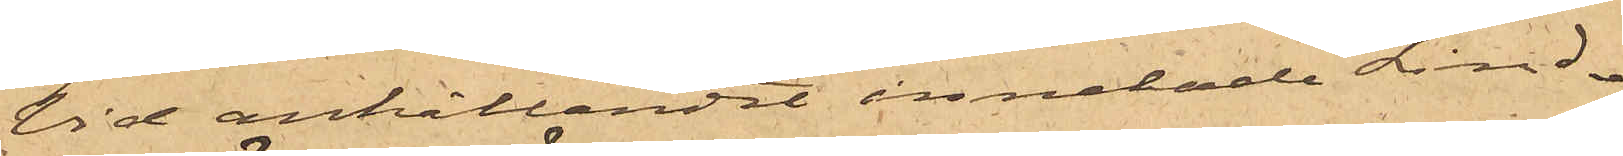Vid anhållandet innehade Lind¬
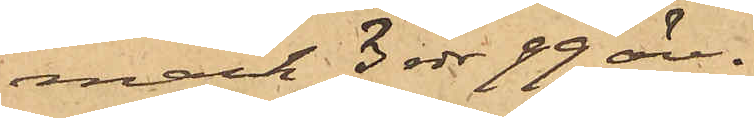mark 3 rdr 99 öre.
